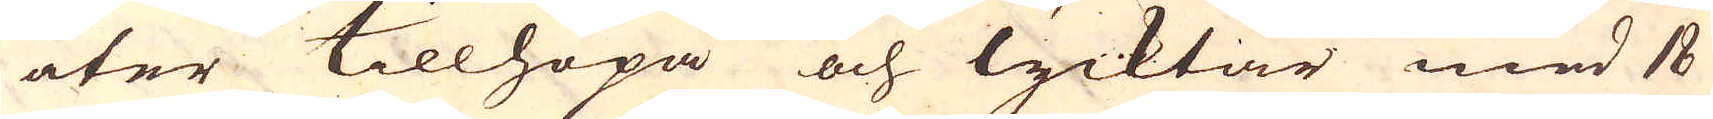åter tillhopa och lycktar med 18
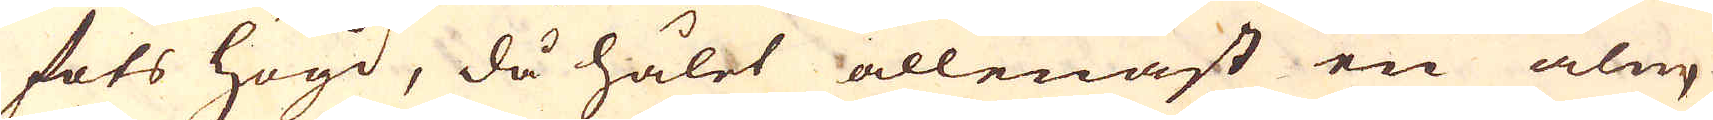fots högd, då hålet allenast en aln,
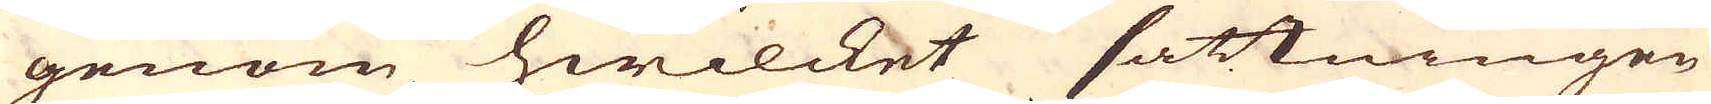genom hwilcket sättningen
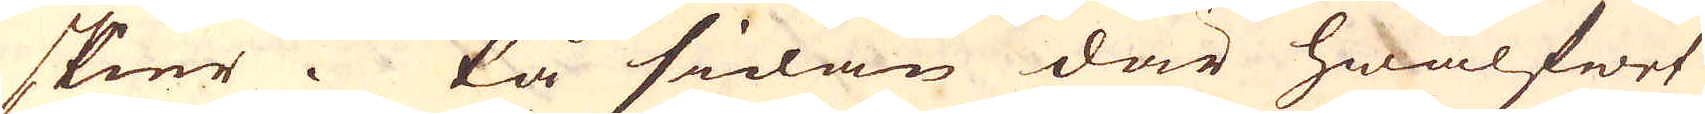skier. På sidan där hwalfwet
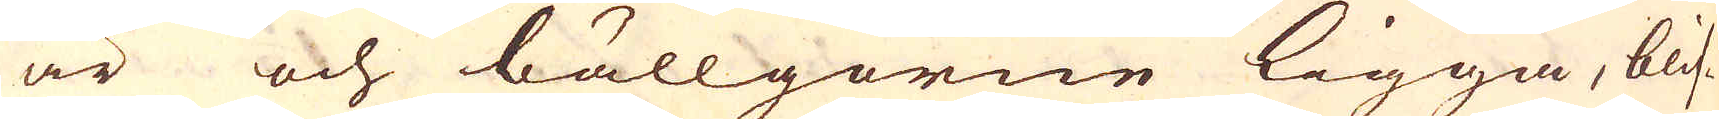är och bällgorne ligga, blif-
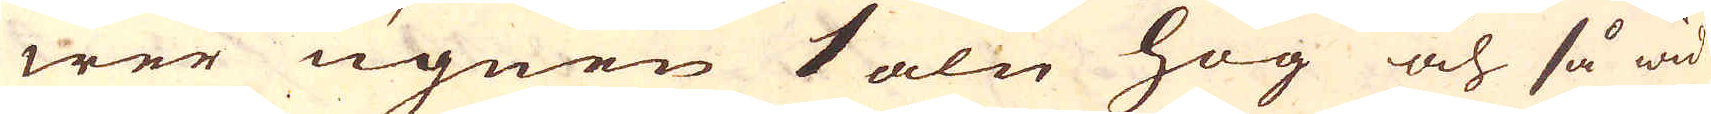wer ugnen 1 aln hög och så wid
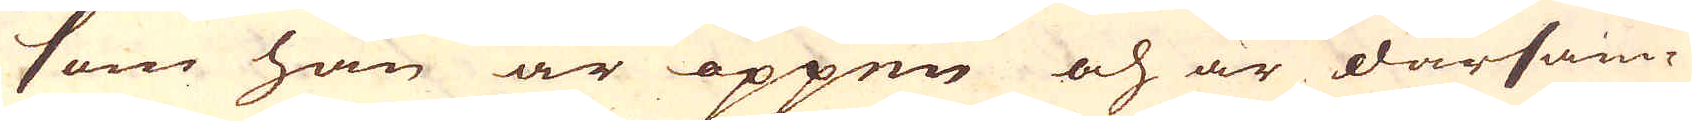som han är öppen och är därsam-
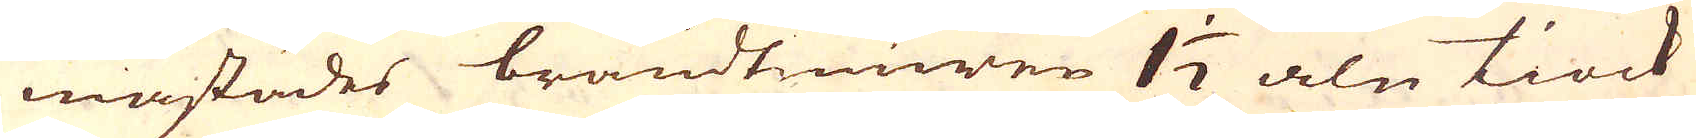mastädes brandtmuren 1 1/2 aln tiock
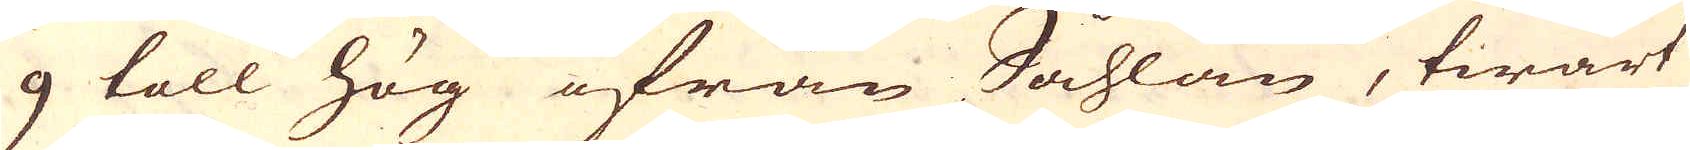9 toll hög ifrån Såhlan, twärt
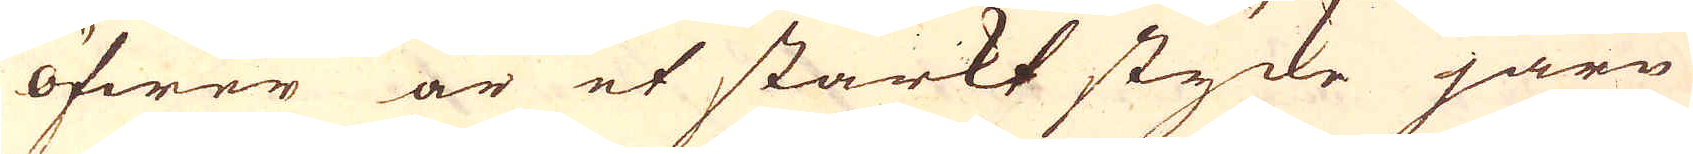öfwer är et starkt stycke järn
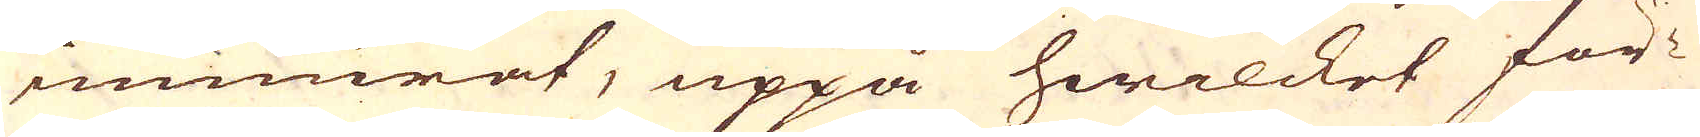inmurat, uppå hwilcket för-
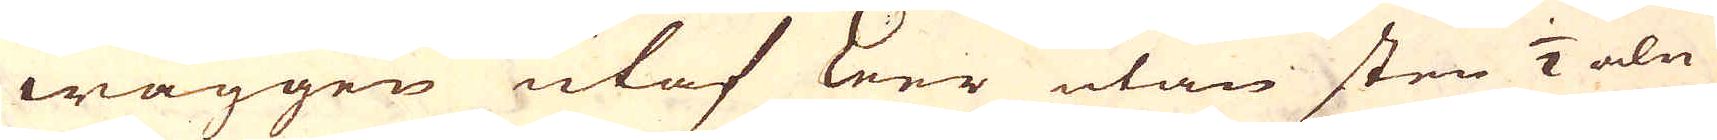wäggen utaf Leer utan sten 1/2 aln
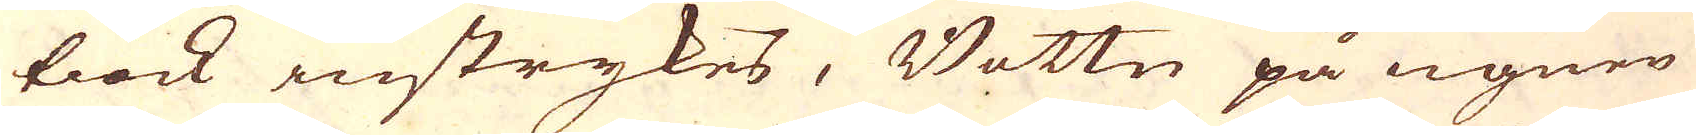tiock instrykes, Bottn på ugnen
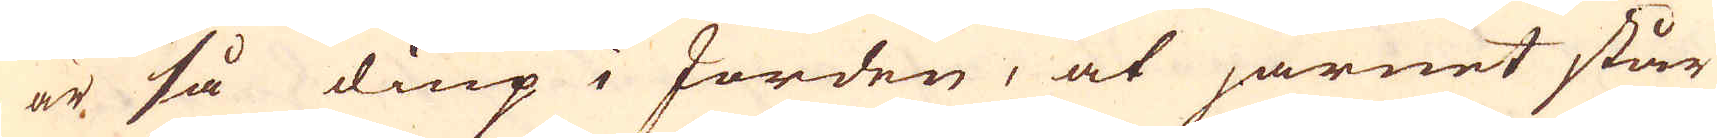är så diup i Jorden, at järnet står
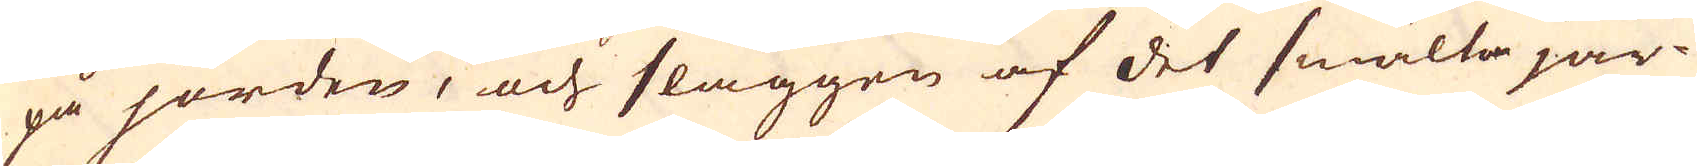på jorden, och slaggen af det smälta jär-
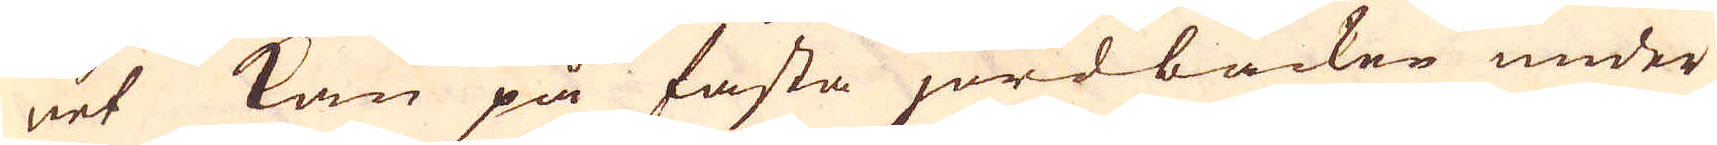net kan på fasta jordbacken under
